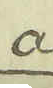a.
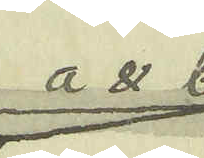a & b
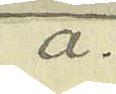a.
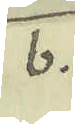b.
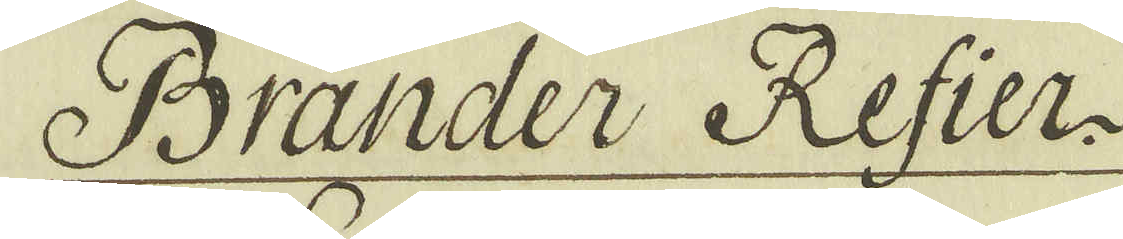Bränder Refier.
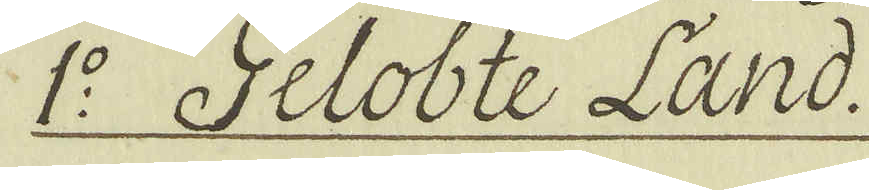1:o Gelobte Land.
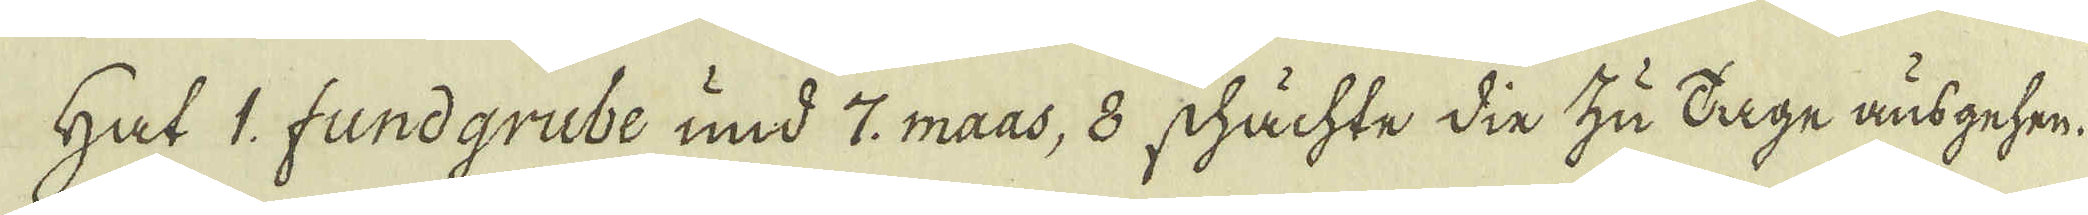Hat 1. fundgrube und 7. maas, 8 shächte din zu Dage änsgehen.
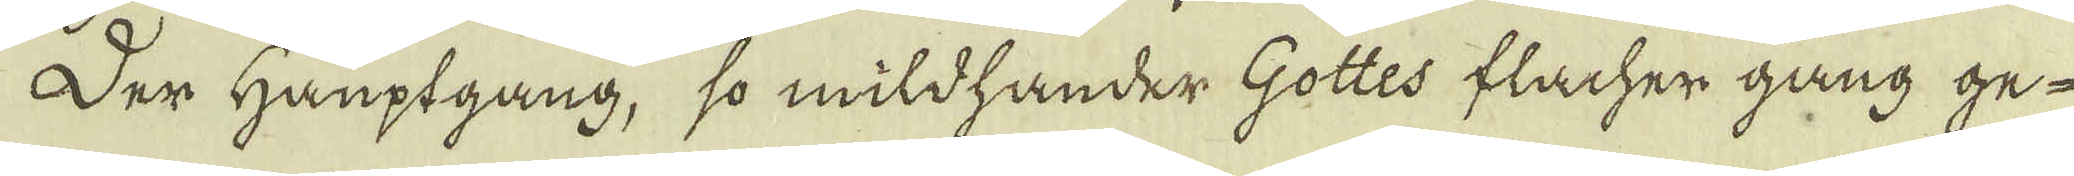Der Hauptgang, so mildhander Gottes flacher gang ge-
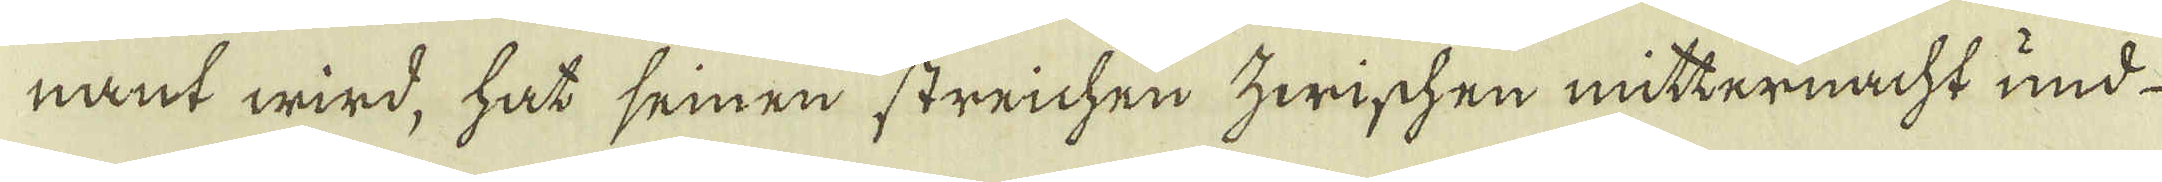nant wird, hat seinen streichen zwischen mitternacht und
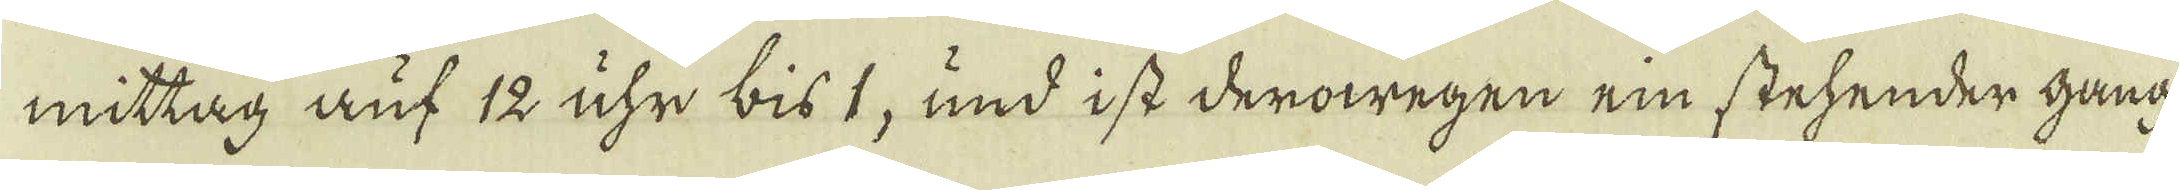mittag auf 12 uhr bist, und i st derowegen ein stehender gang:
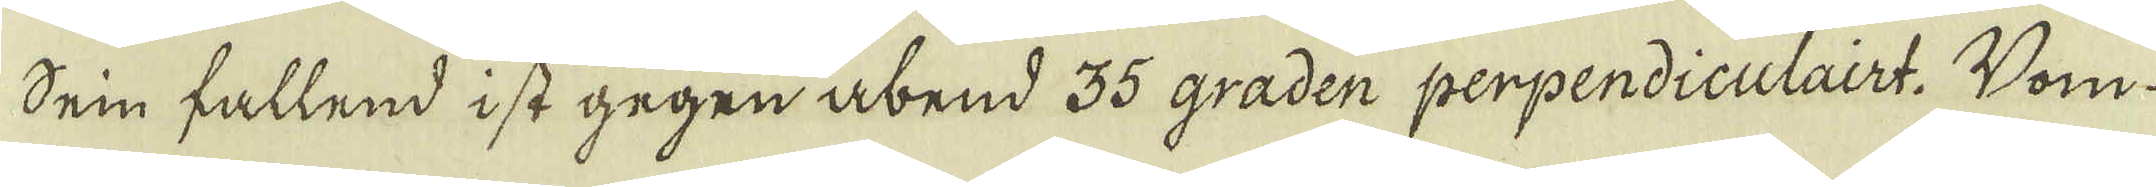Dein fallend ist gegen abend 35 graden perpendiculairt. Dom-
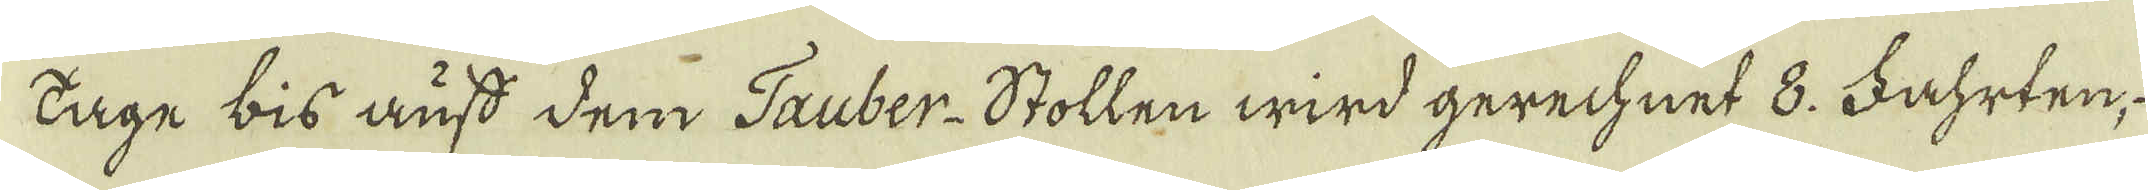tage bis ausd dem Tauber-Stollen wird gerechnet 8. Fahrten
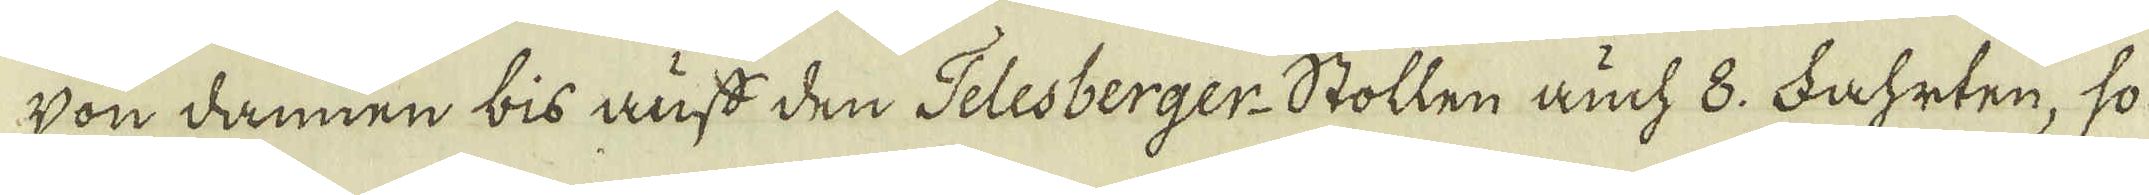Von dannen bis auss den Telesberger-Stollen auch 8. Fahrten, so
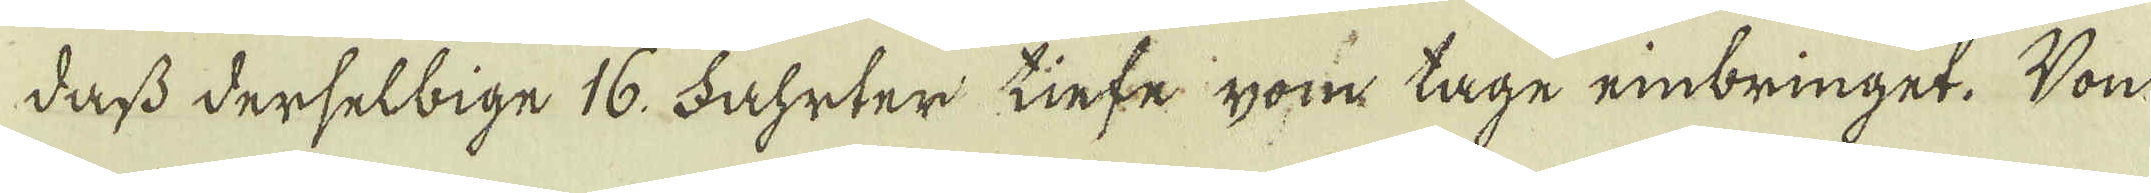dass derselbige 16. Fahrter Linfe yom tage rinbringet. Von
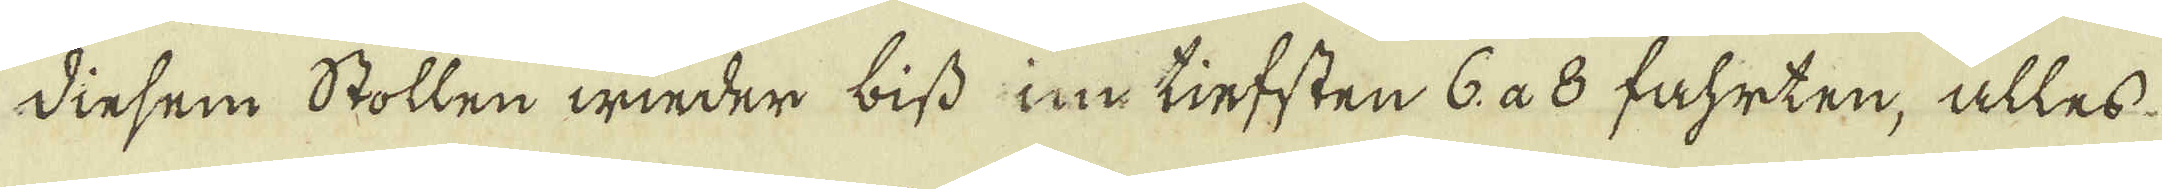Dinsem Stollen wieder biss ine tiefsten 6. a 8 fahrten, alles
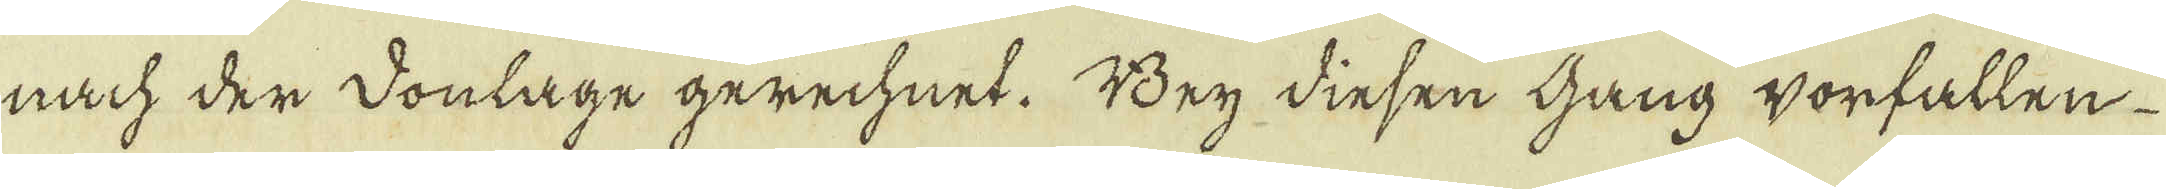nach der donlage gerechnet. Bey dinsen gang worfallen
